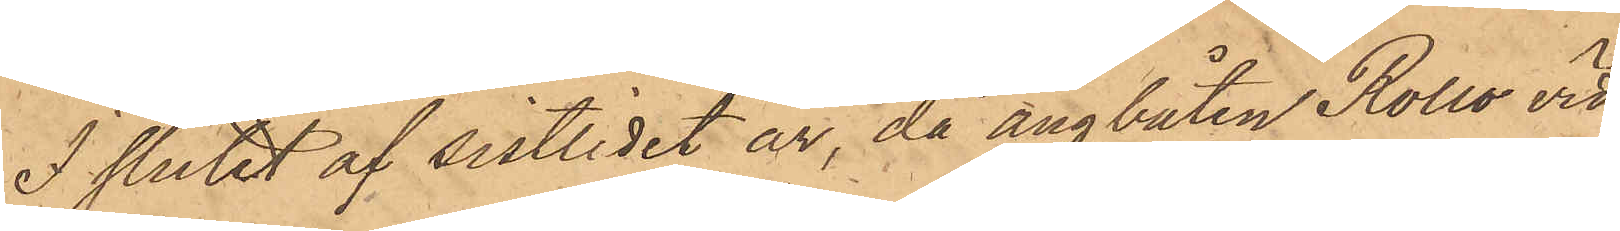I slutet af sistlidet år, då ångbåten Rollo vid
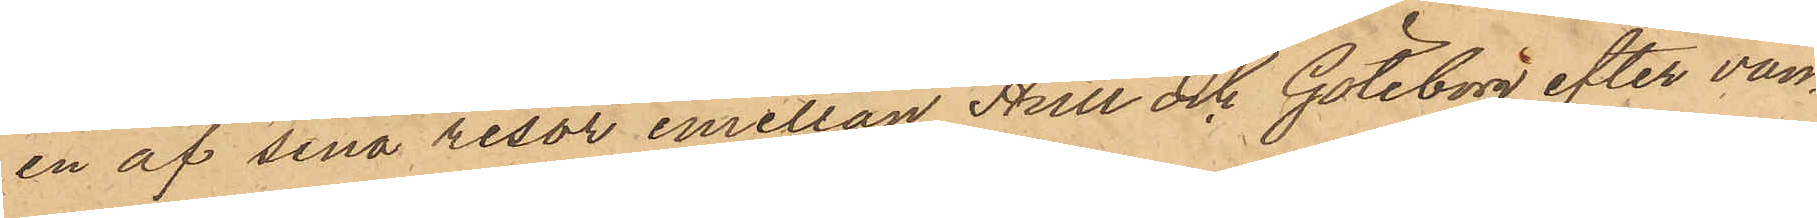en af sina resor emellan Hull och Göteborg efter van¬
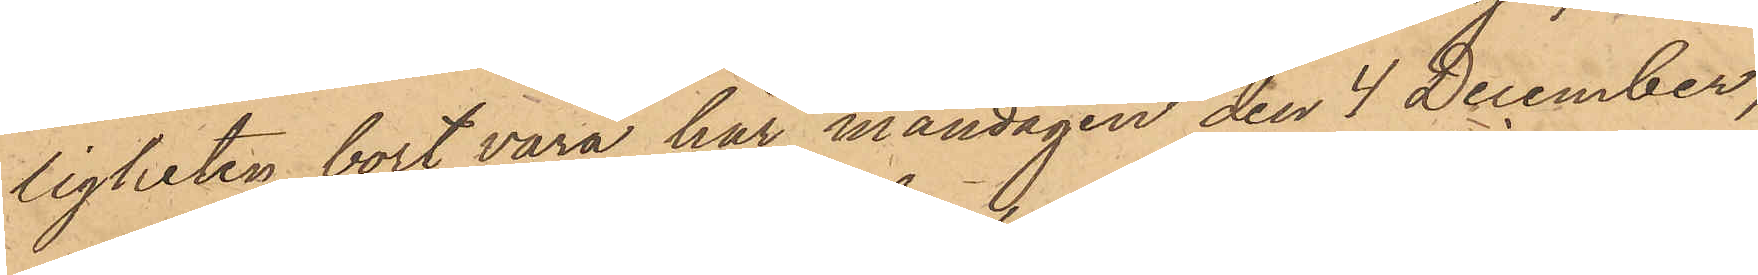ligheten bort vara här måndagen den 4 December,
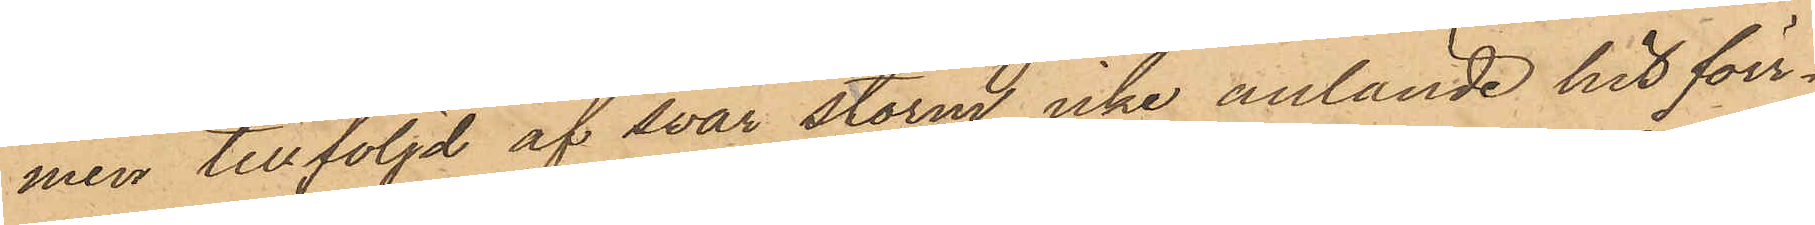men tillföljd af svår storm icke anlände hit förr¬
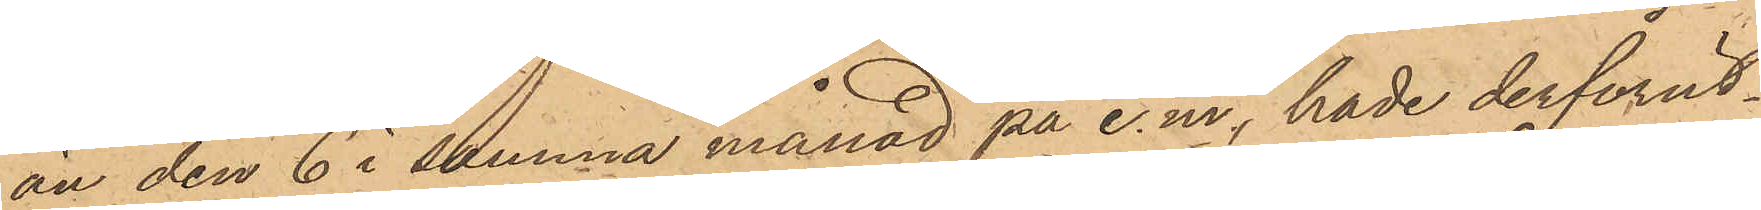än den 6 i samma månad på e.m, hade derförut¬
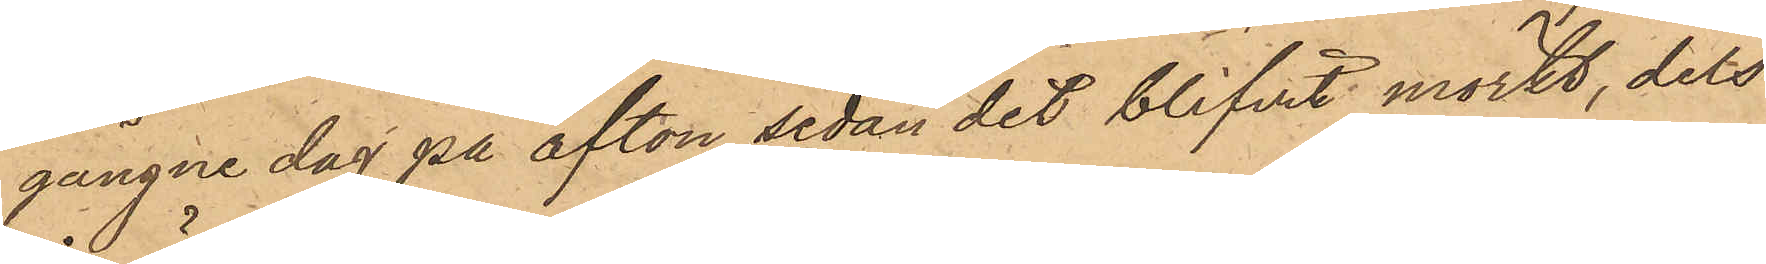gångne dag på afton, sedan det blifvit mörkt, dels
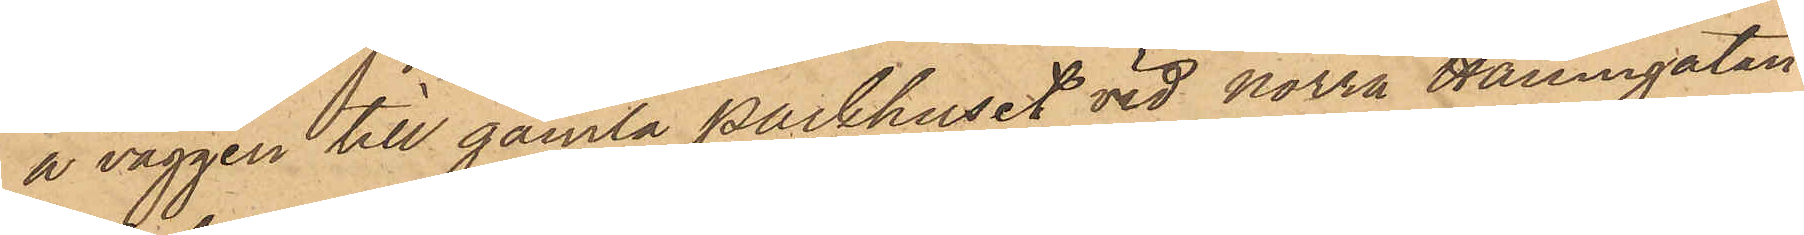å väggen till gamla Packhuset vid Norra Hamngatan
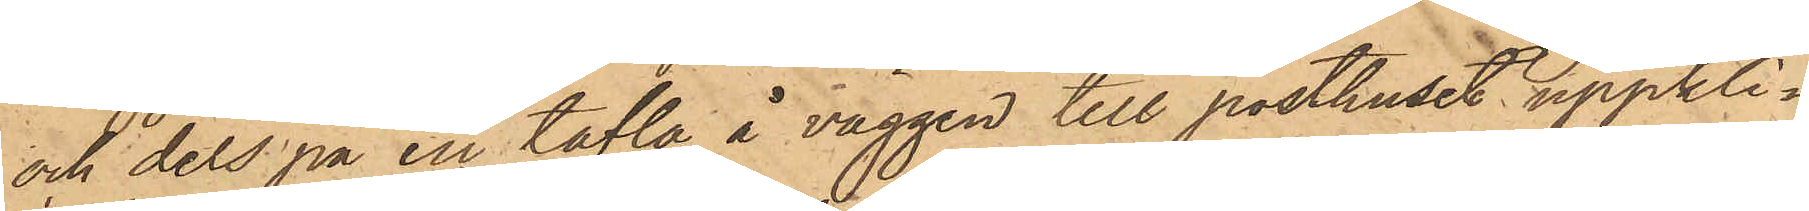och dels på en tafla å väggen till posthuset uppkli¬
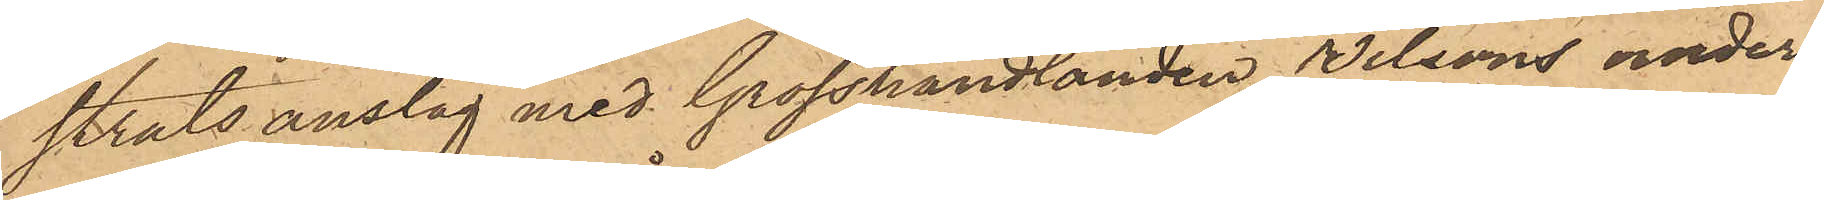strats anslag med Grosshandlanden Nilssons under¬
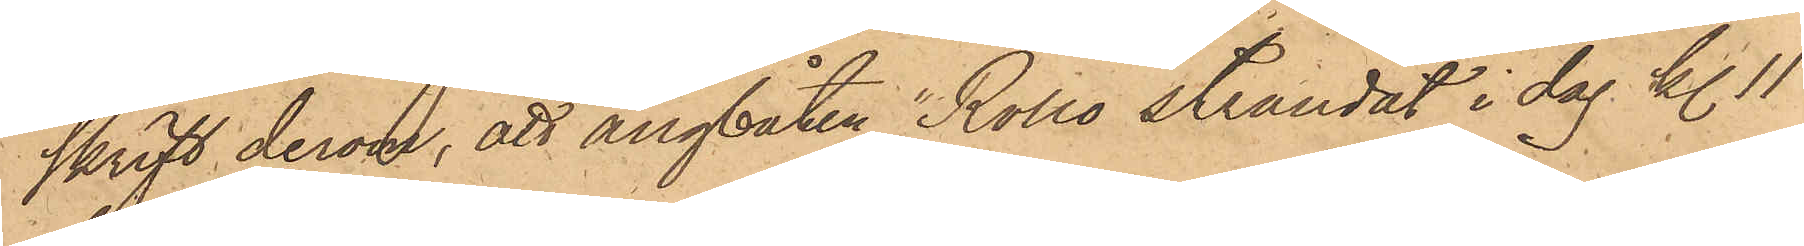skrift derom, att ångbåten "Rollo strandat i dag kl. 11
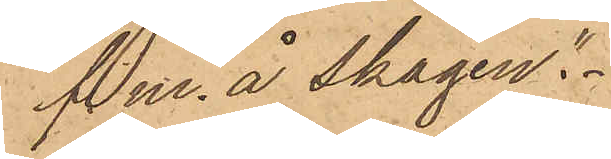f.m. å Skagen."
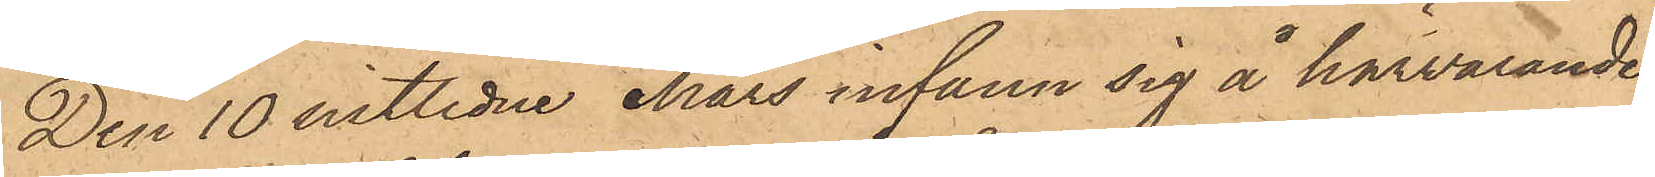Den 10 sistlidne Mars infann sig å härvarande
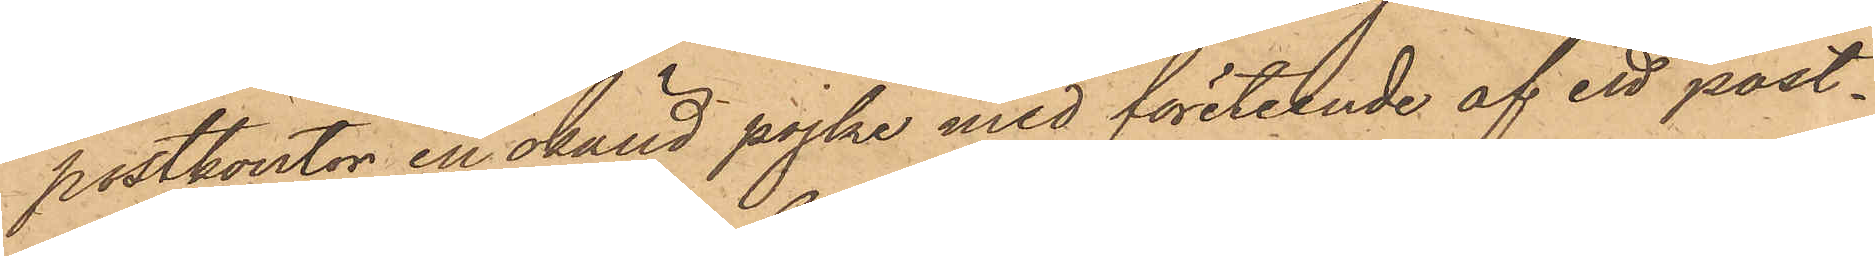postkontor en okänd pojke med företeende af ett post¬
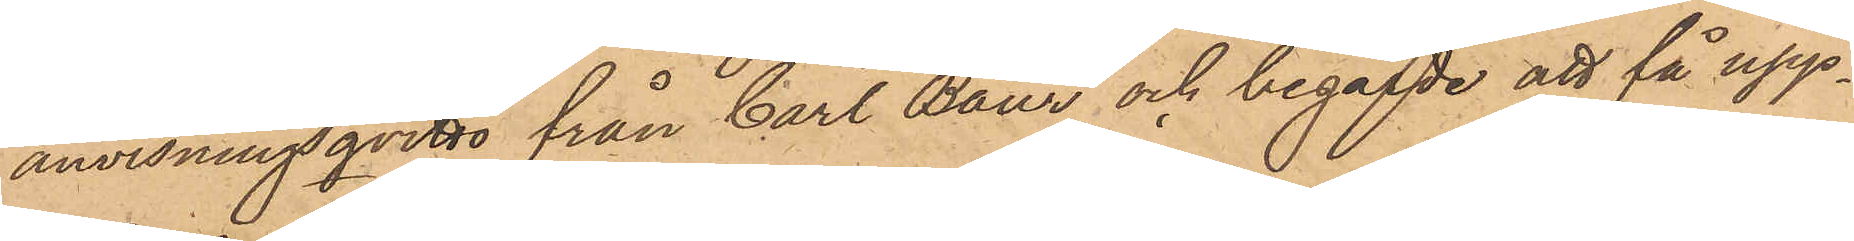anvisningsqvitto från Carl Baur och begärde att få upp¬
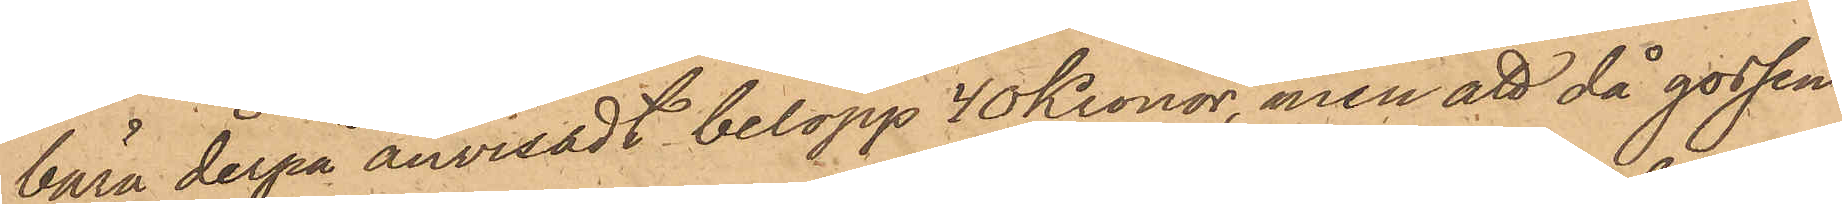bära derpå anvisadt belopp 40 Kronor, men att då gossen
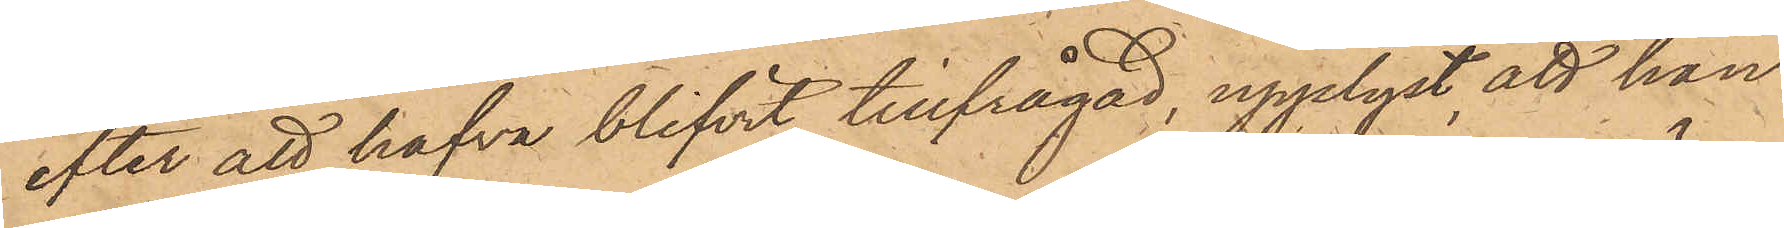efter att hafva blifvit tillfrågad, upplyst, att han
